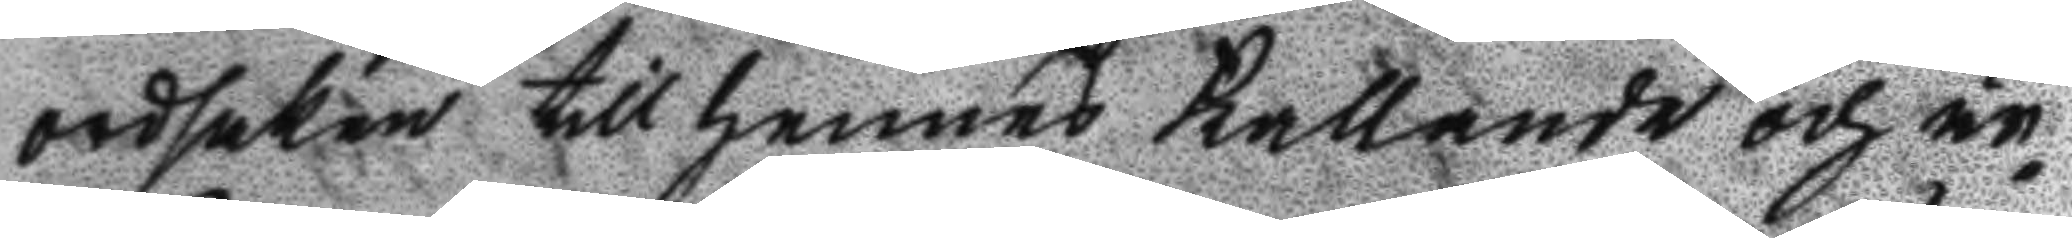ordsaken till hennes Kallande och är¬
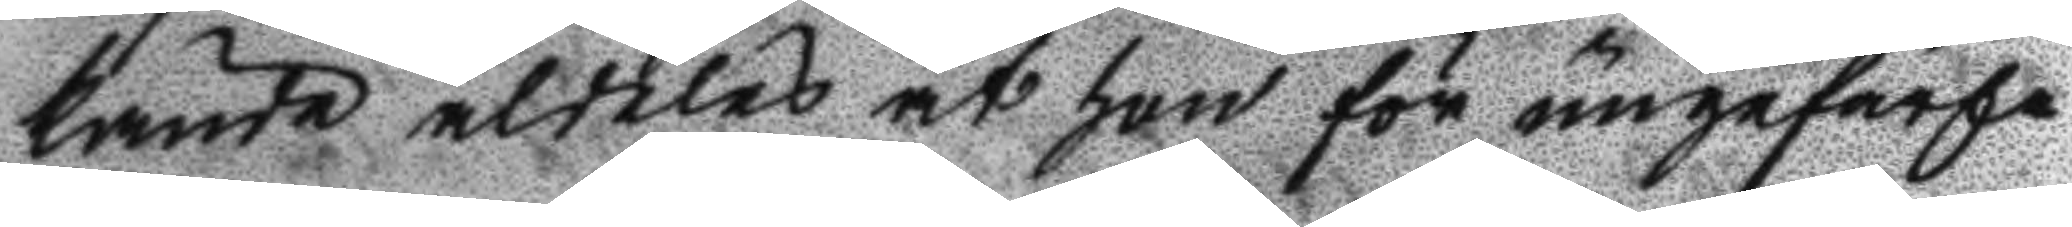kände aldeles at hon för ungefärln
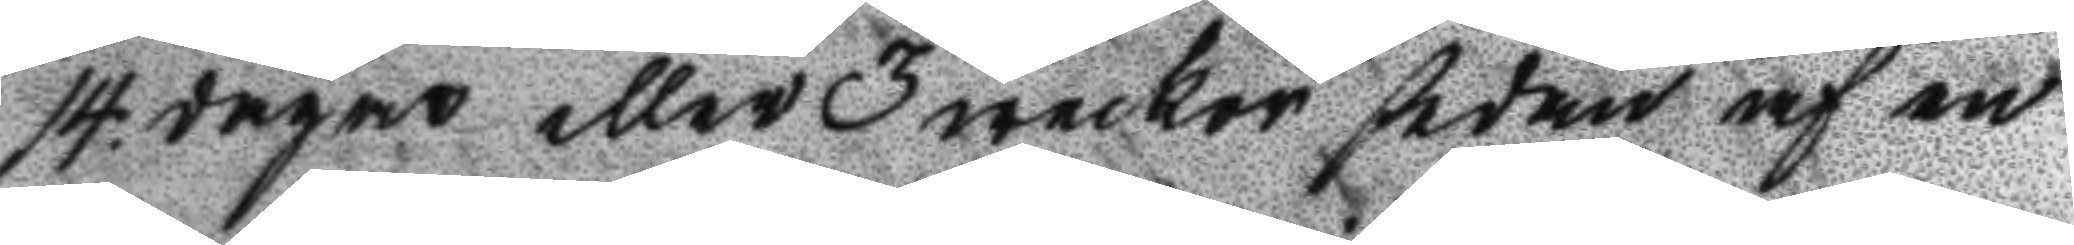14. dagar eller 3 weckor sedan af en
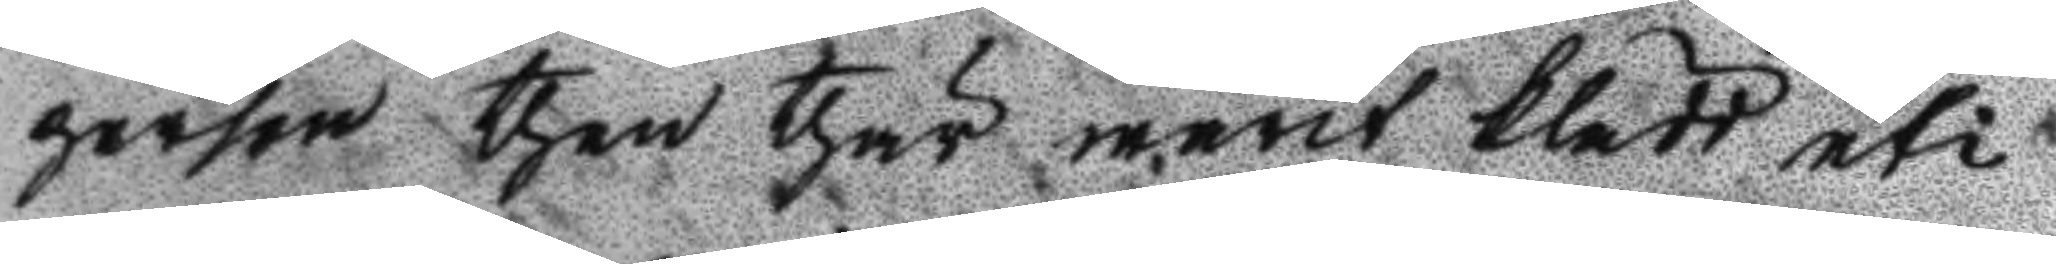person then thär warit klädd uti
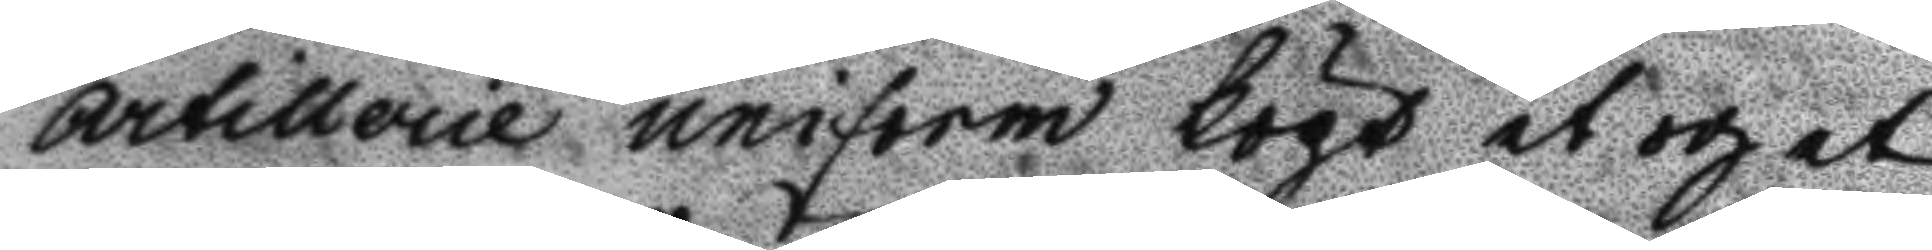Artillerie uniform köpt et och et
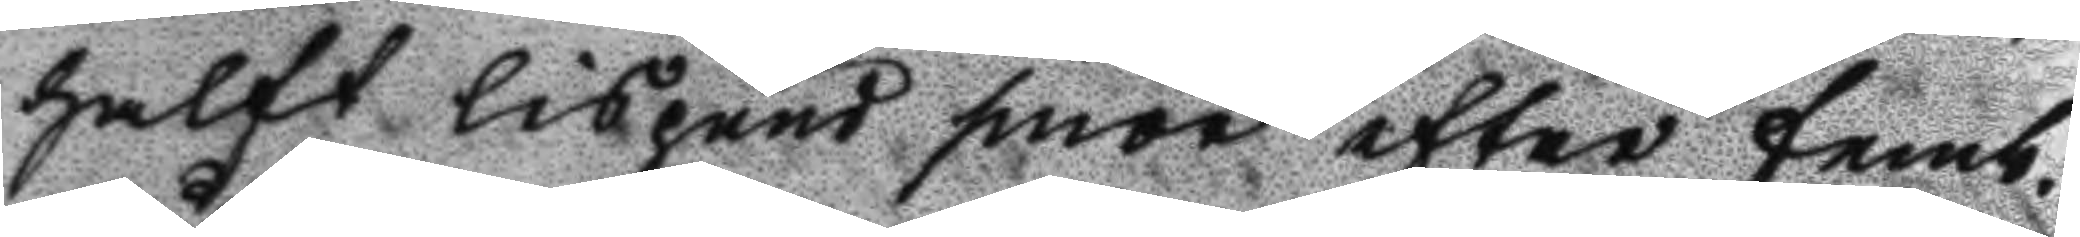halft lispund smör efter femb
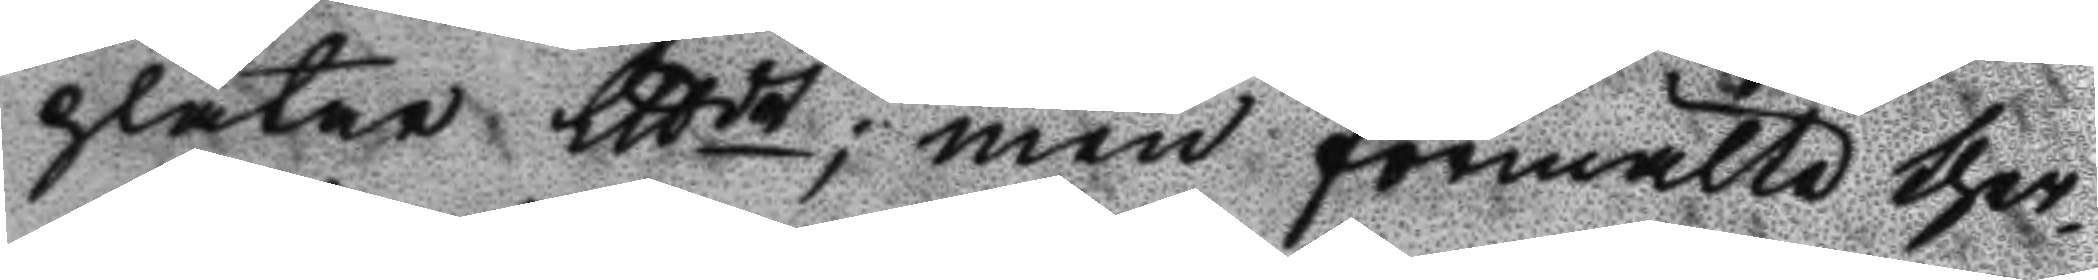plåtar Lttdt; men förmälte ther¬
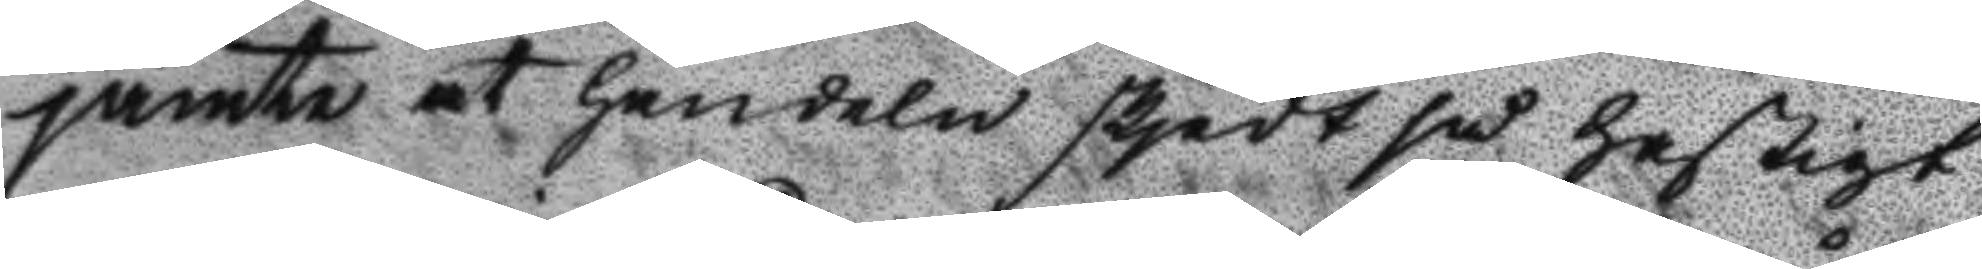jämte at handeln skjedt så hastigt
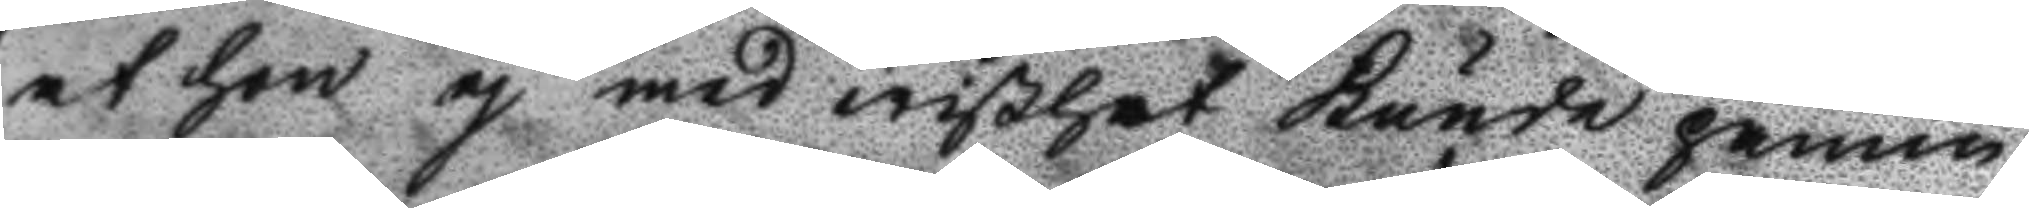at hon ej med wißhet kunde påmin¬
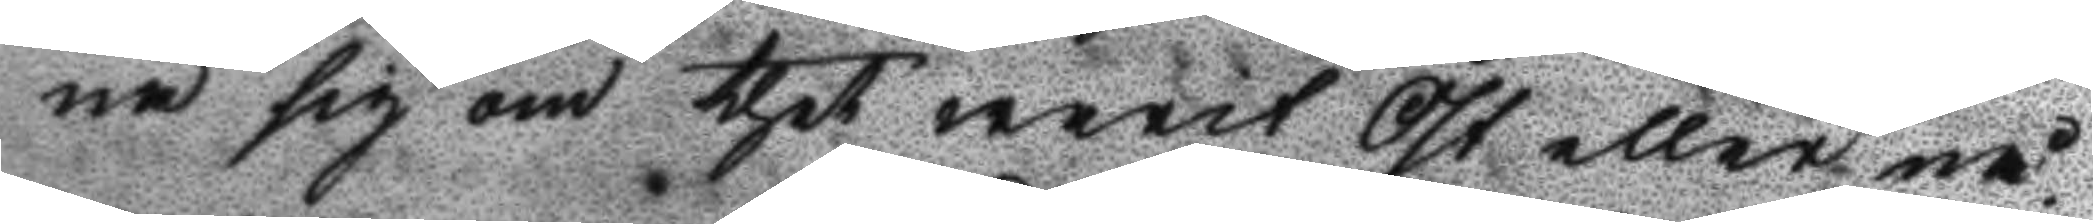na sig om thet warit Öst eller nå¬
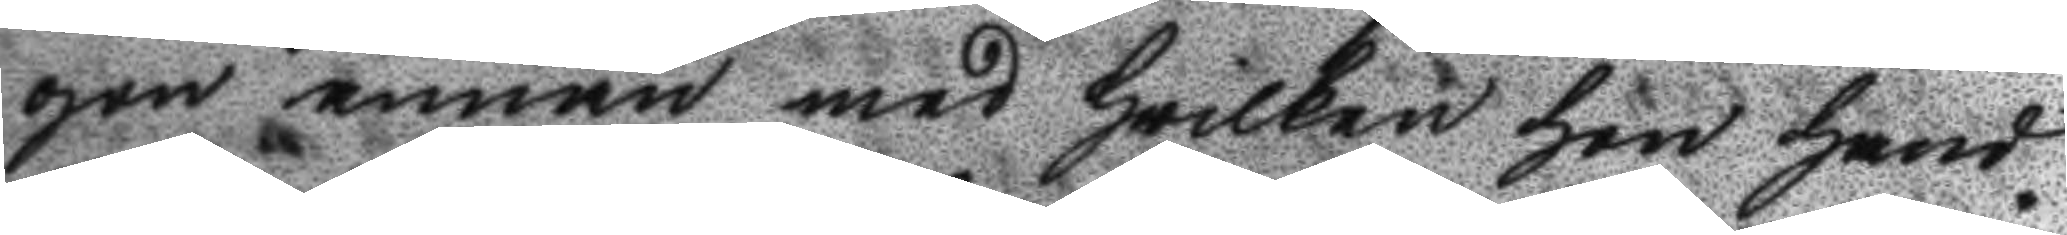gon annan med hwilken hon hand¬
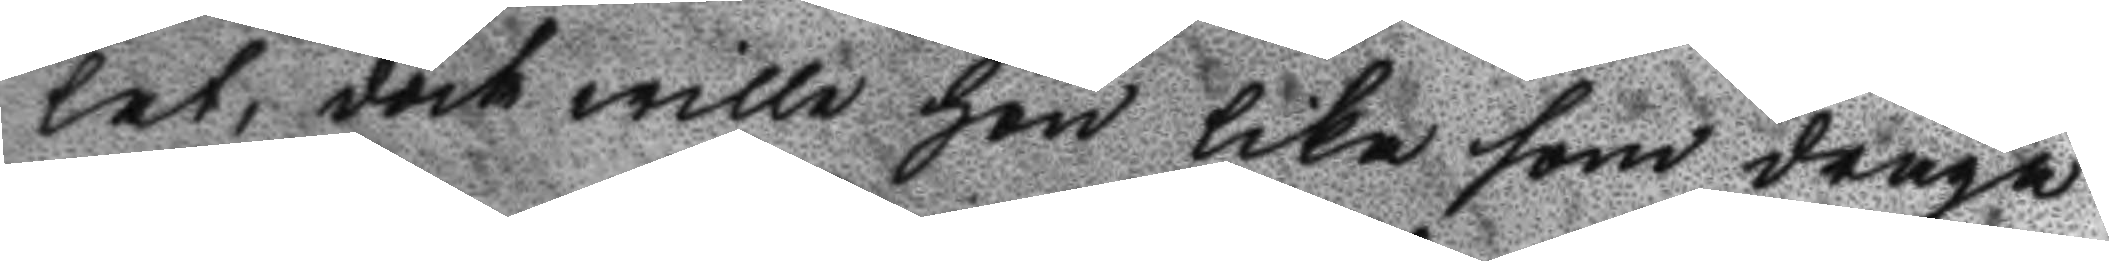lat, dock wille hon lika som draga
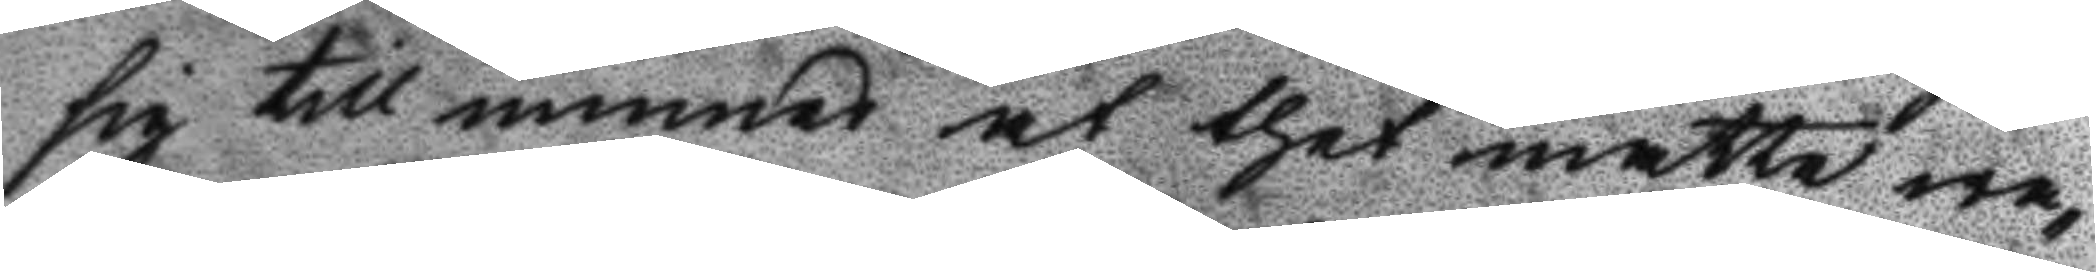sig till minnes at thet måtte wa¬
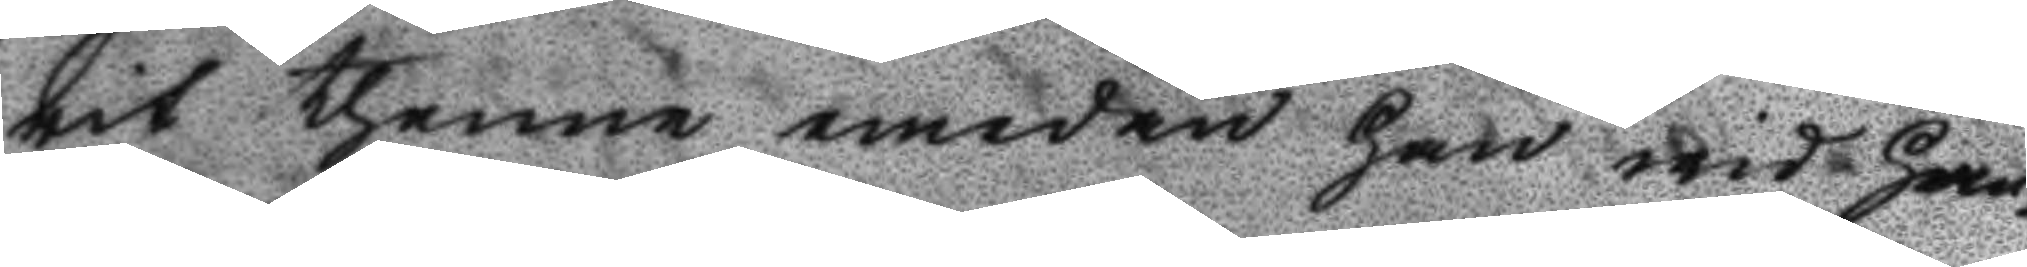rit thenne emedan han wid Han¬
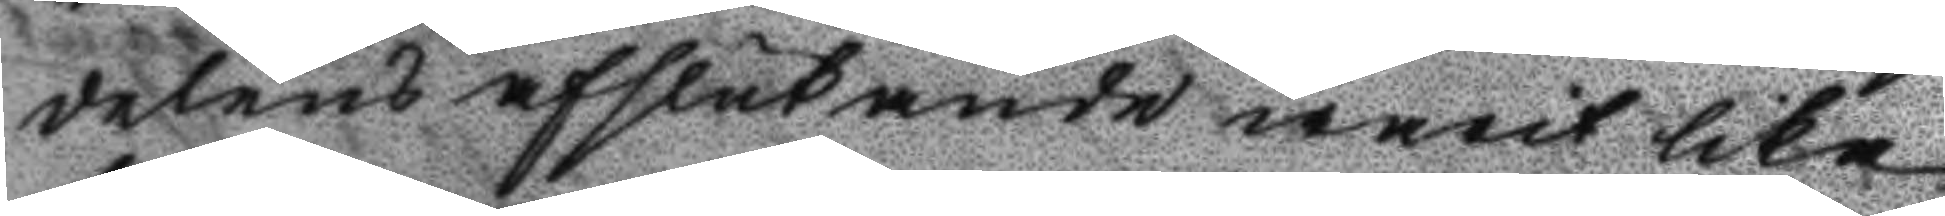delens afslutande warit lika
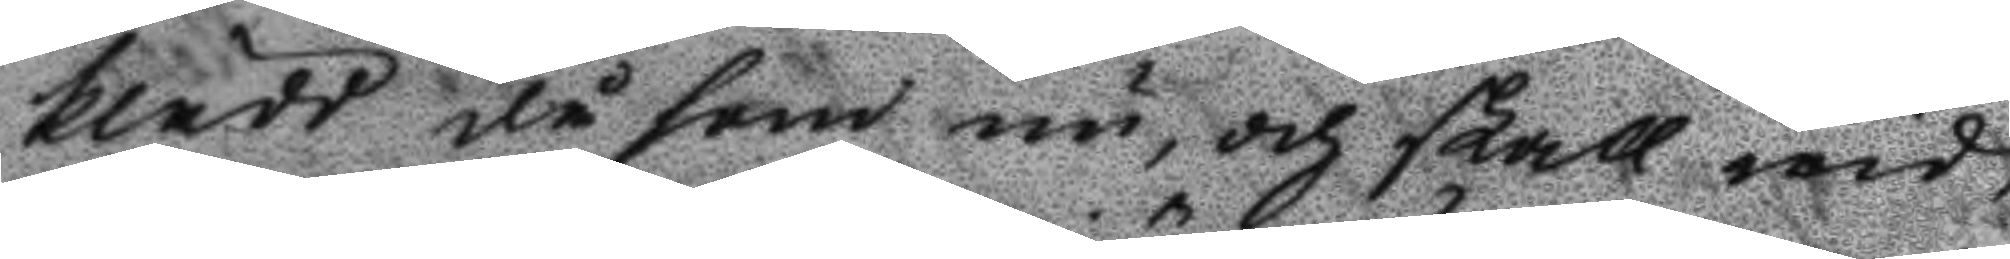klädd då som nu, och skall wid
